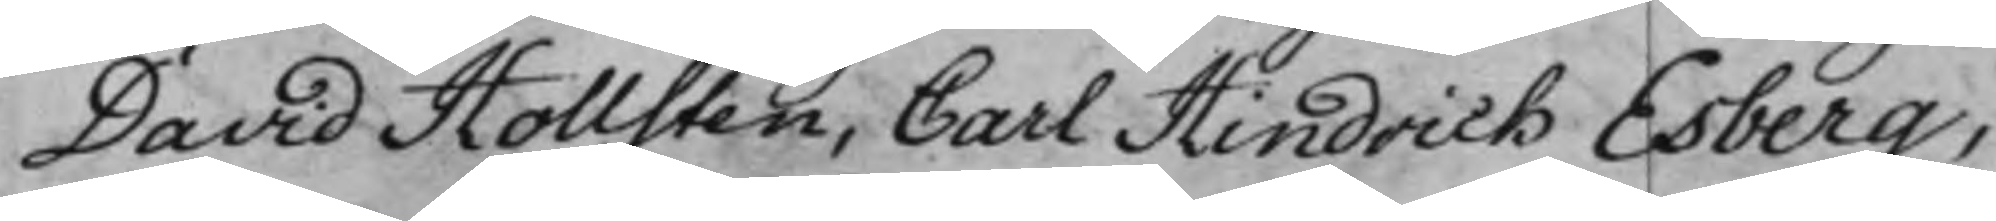David Hollsten, Carl Hindrich Esberg,
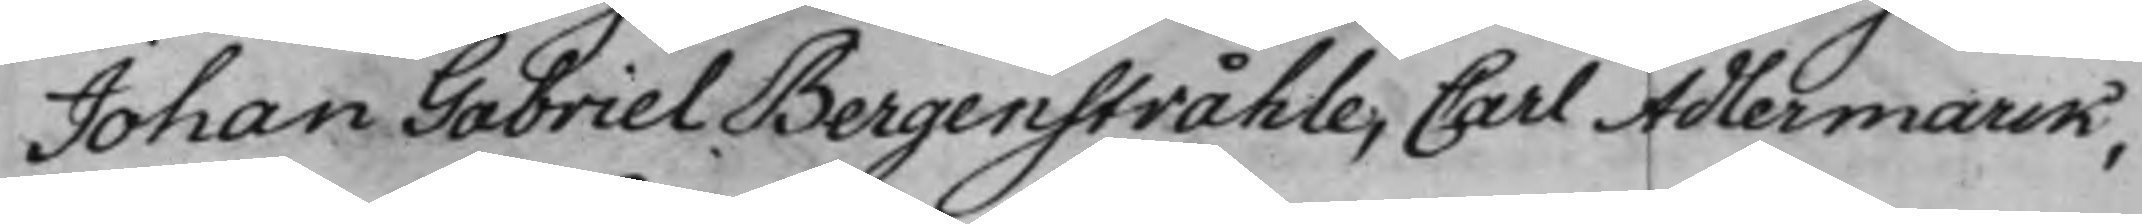Johan Gabriel Bergenstråhle, Carl Adlermarck,
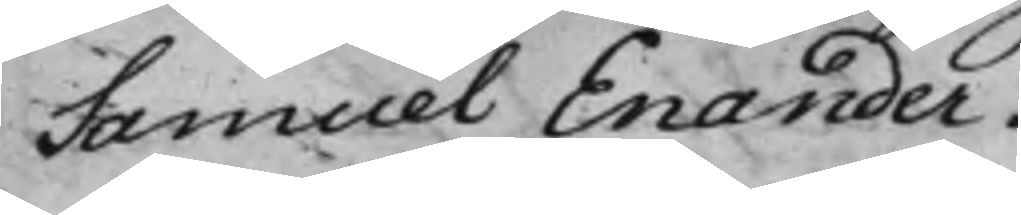Samuel Enander.
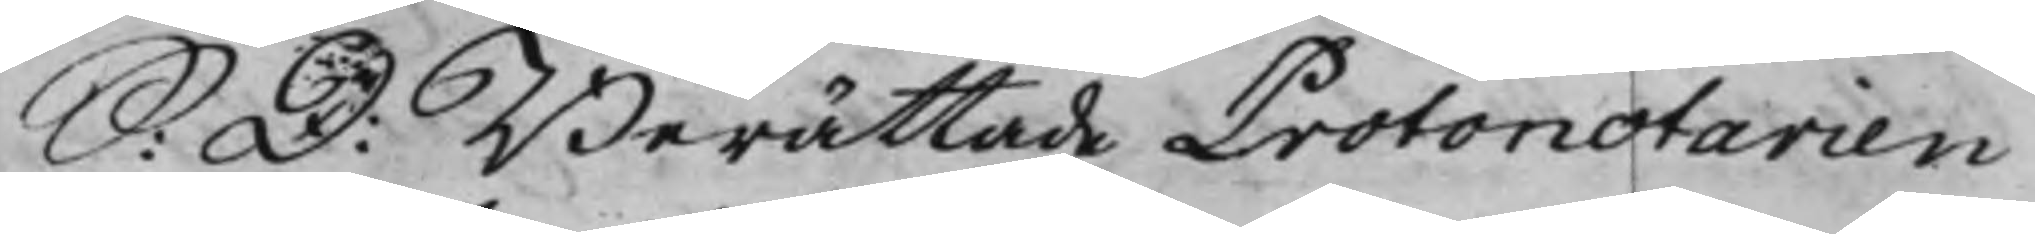S: D: Berättade Protonotarien
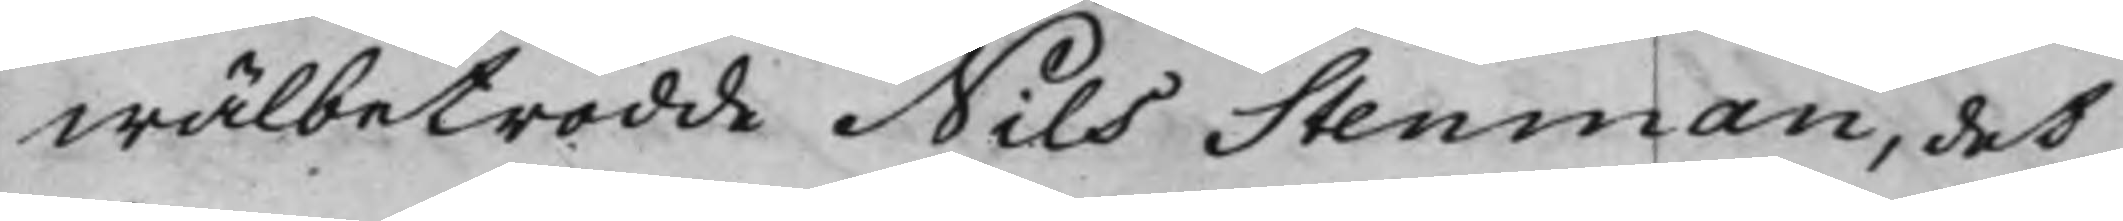wälbetrodde Nils Stenman, det
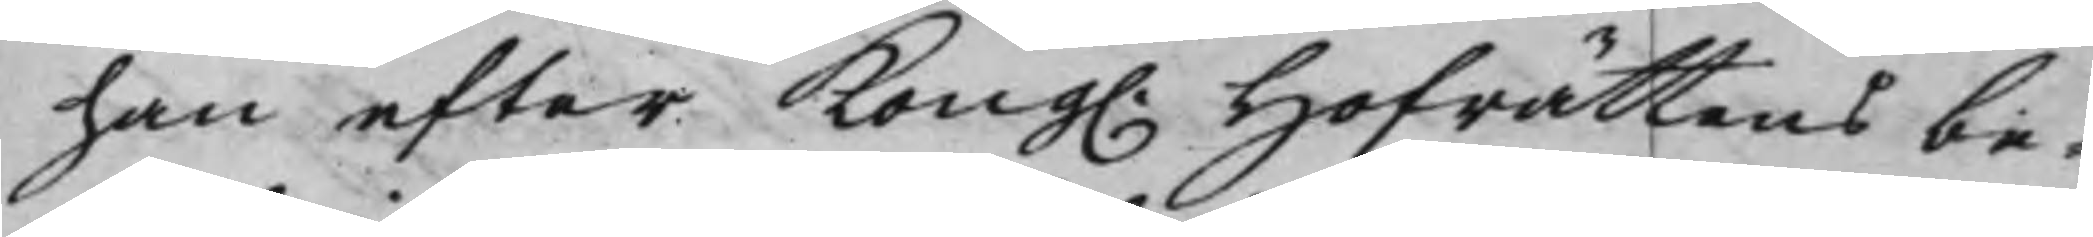han efter Kong. Hofrättens be¬
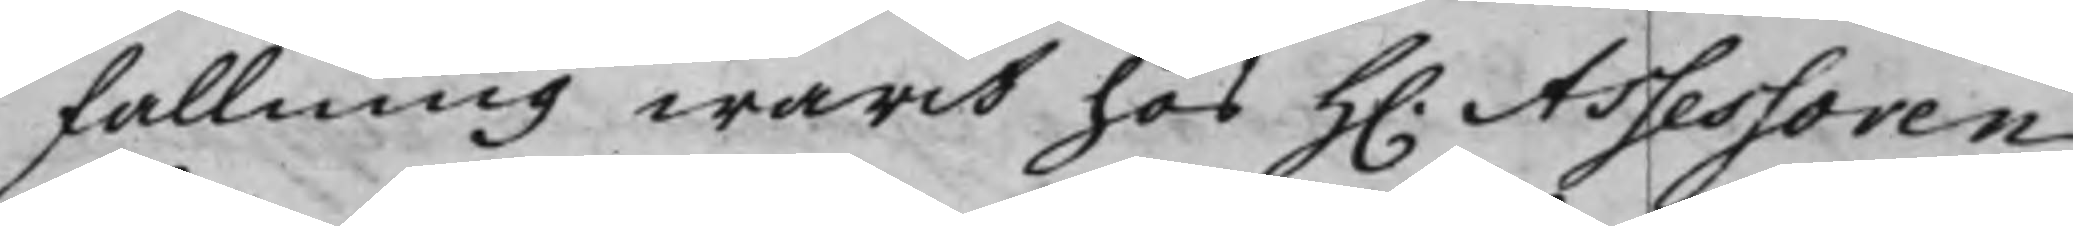fallning warit hos H. Assessoren
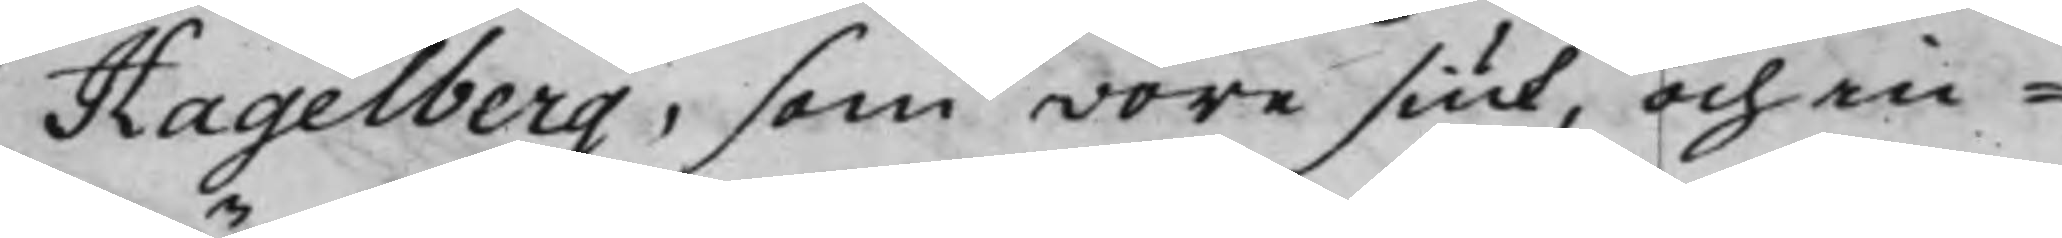Hagelberg, som wore siuk, och in¬
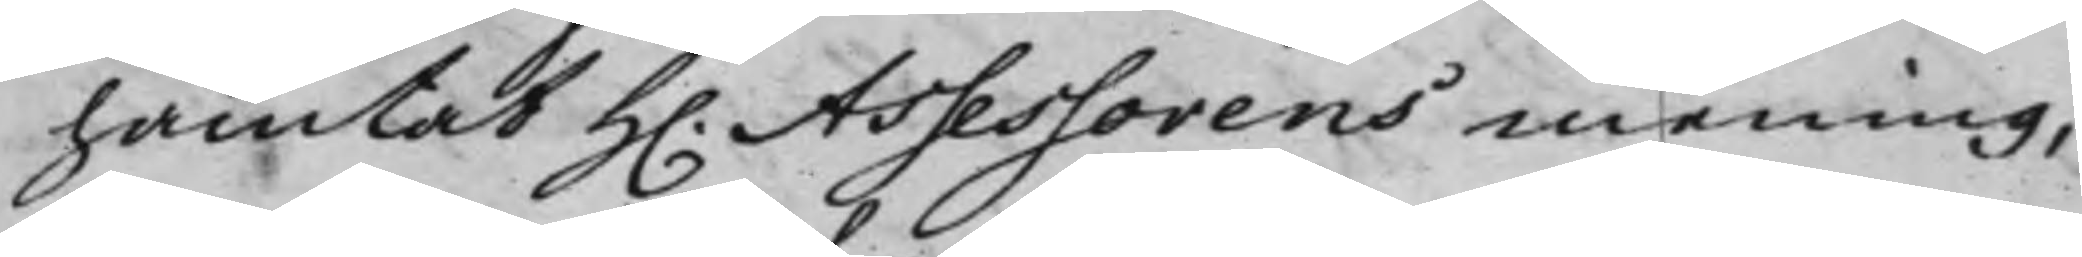hämtat H. Assessorens mening,
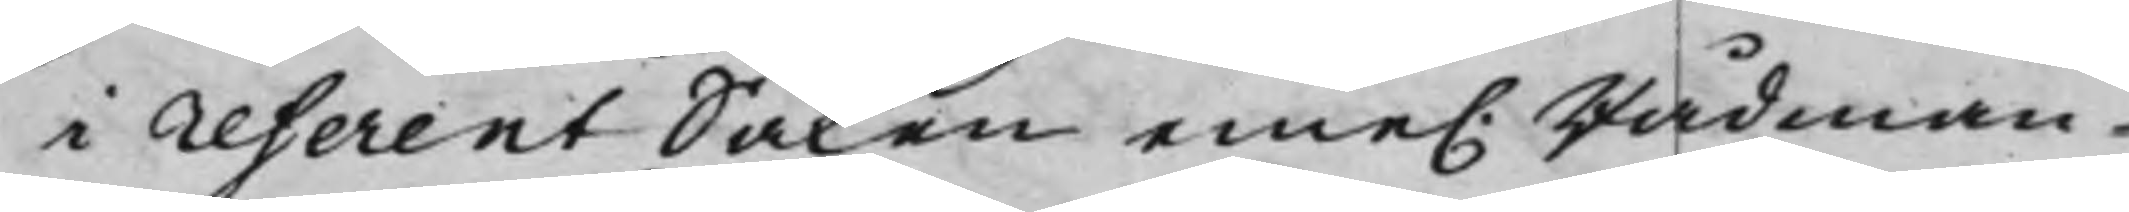i referent Saken eme. Rådman¬
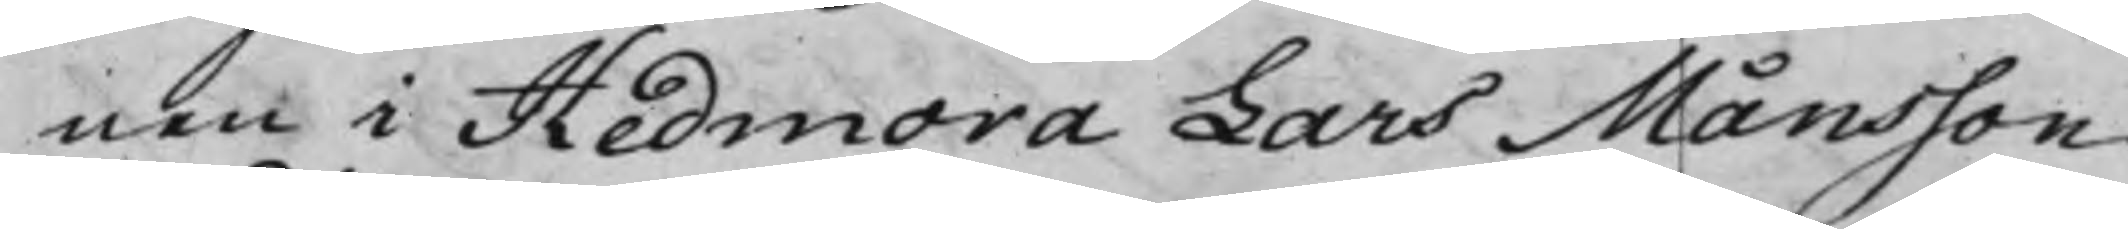nen i Hedmora Lars Månsson
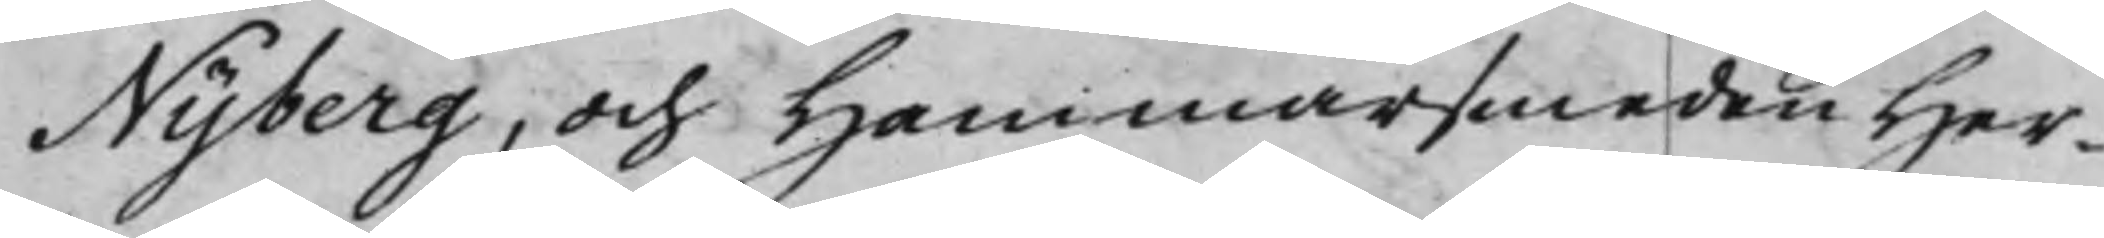Nyberg, och Hammarsmeden Her¬
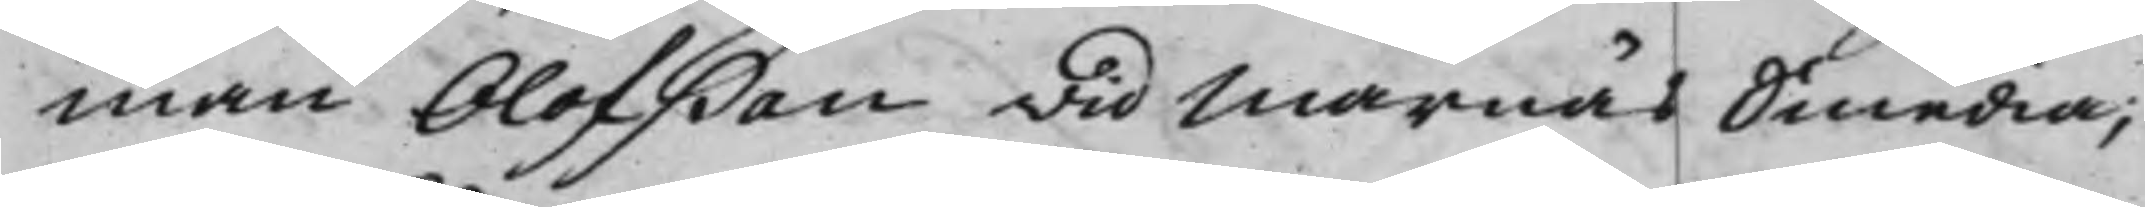man Olofßon wid Marnäs Smedia;
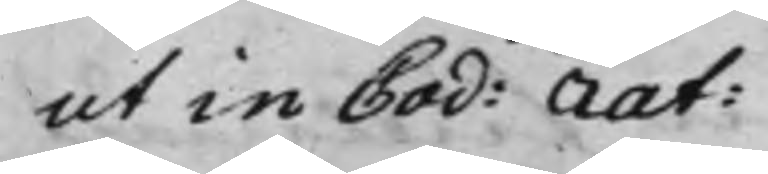ut in Cod: rat:
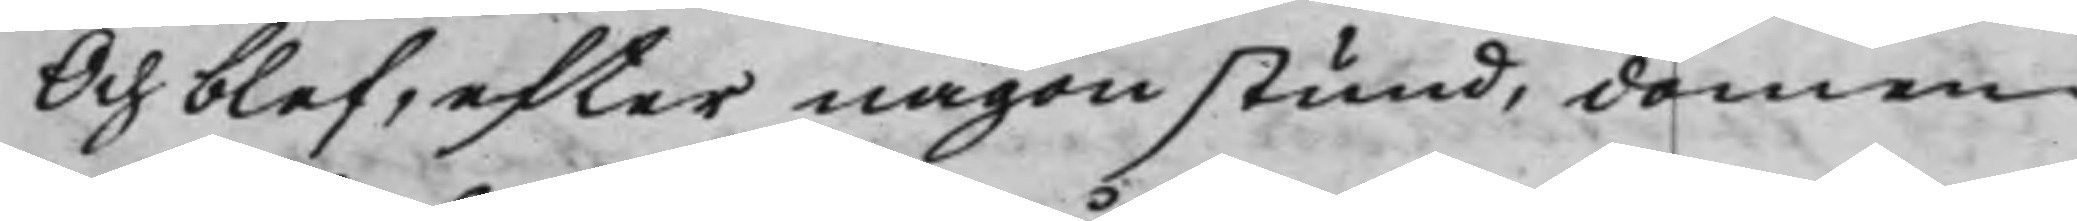Och blef, efter någon stund, domen
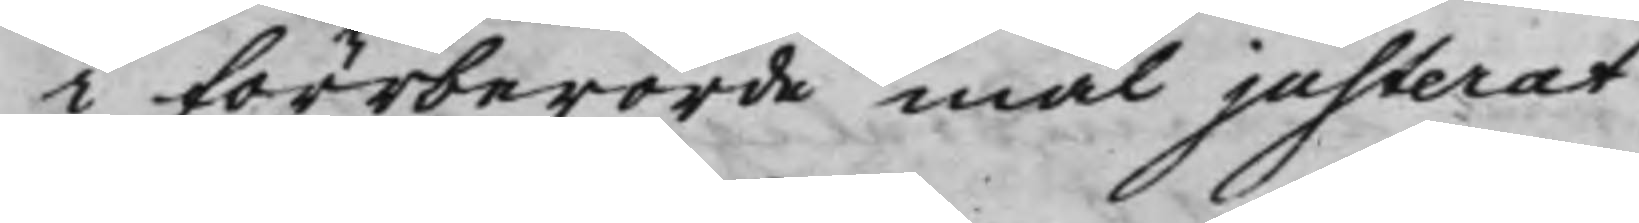i förrberörde mål justerat
